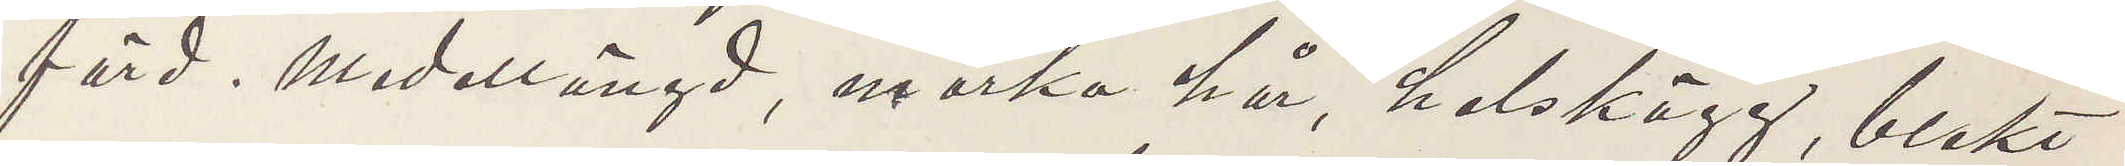färd. Medellängd, mörka hår, helskägg, blekt
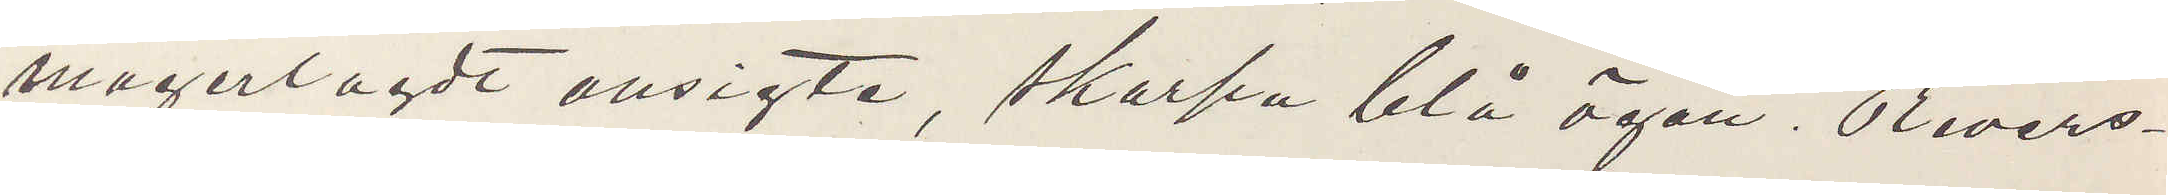magerlagdt ansigte, skarpa blå ögon. Revers¬
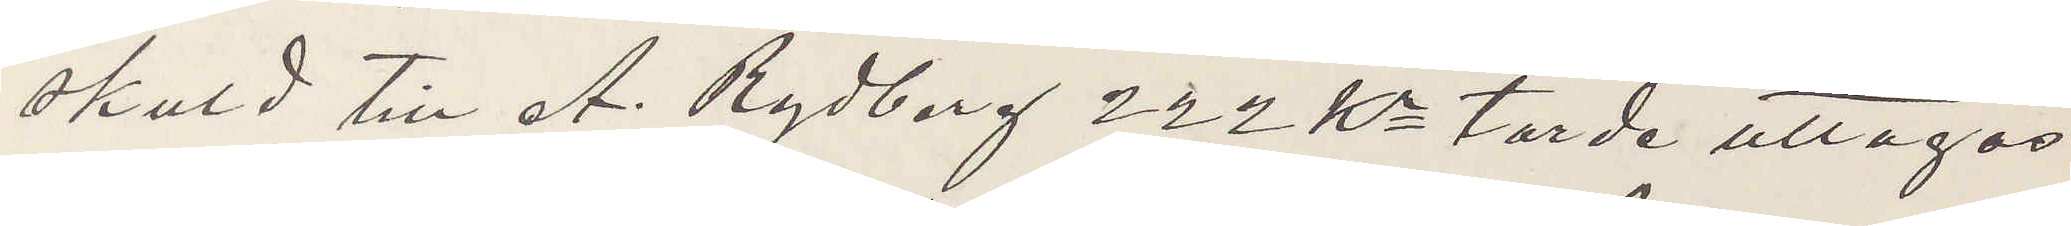skuld till A. Rydberg 222 Kr torde uttagas
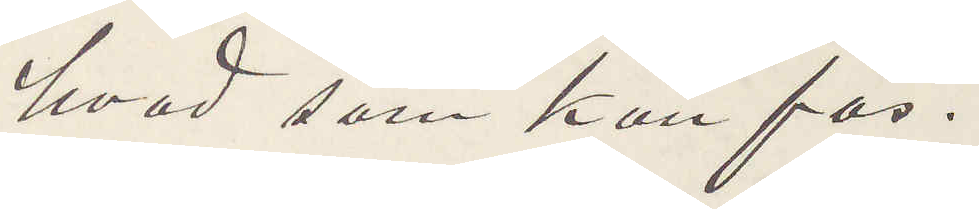hvad som han fås.
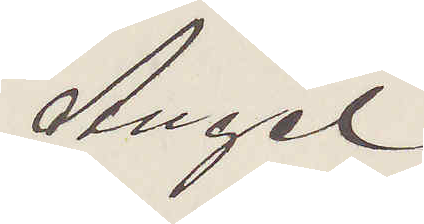Angel
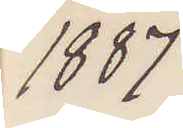1887
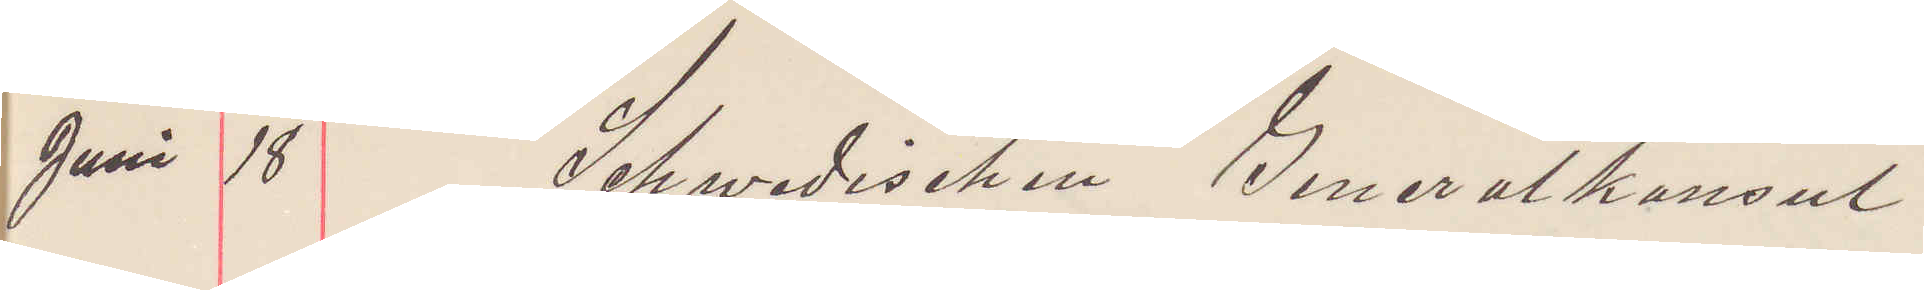Juni 18 Schwedischen Generalkonsul
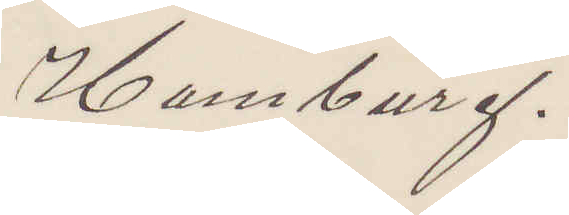Hamburg.
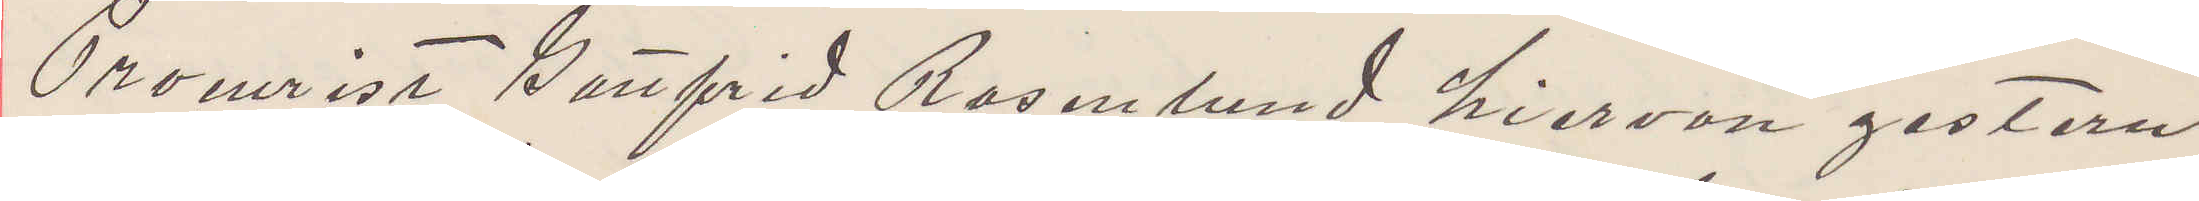Procurist Gottfrid Rosenlund hier von gestern
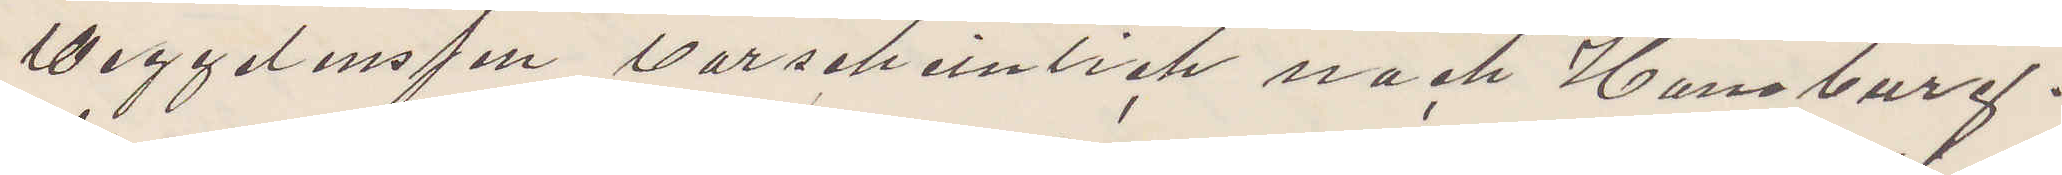weggeleufen warscheinlich nach Hamburg.
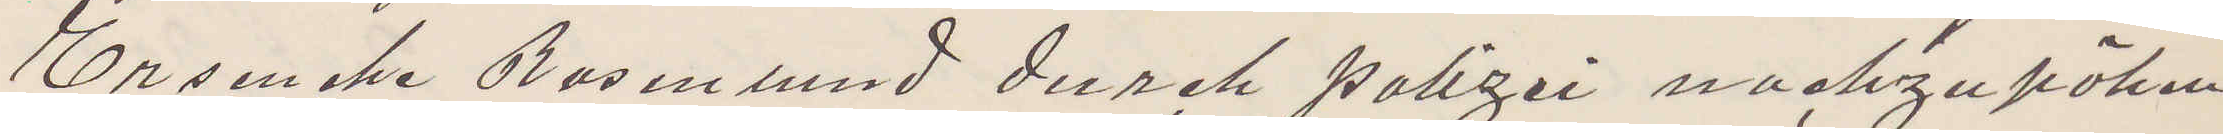Ersenche Rosenlund durch polizei nachzupöken
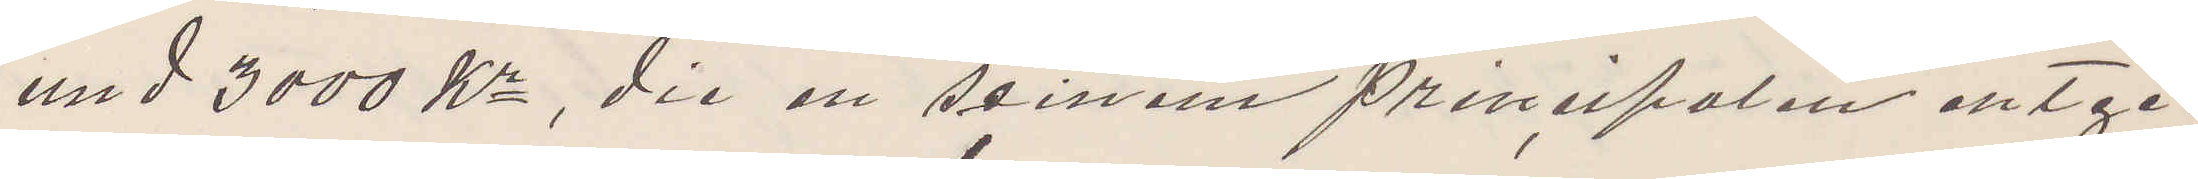und 3000 Kr, die en seinem prinzipalen entge¬
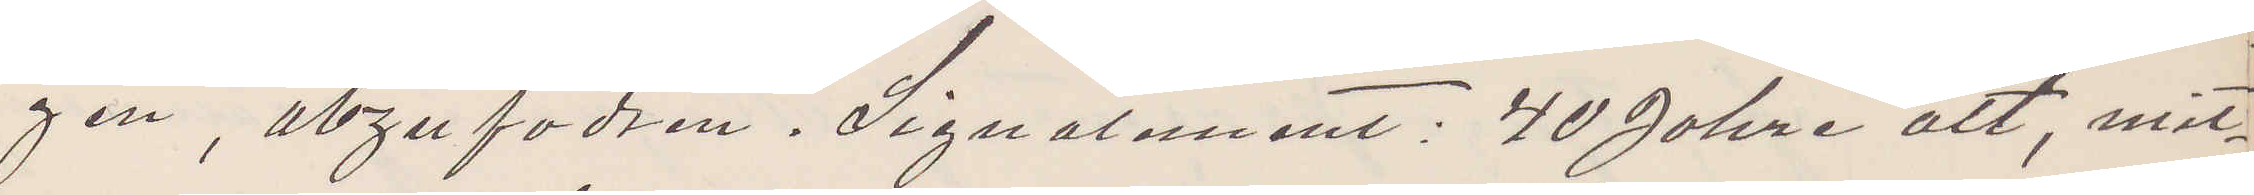gen, abzufodren. Signalement: 40 Jahre alt, mit¬
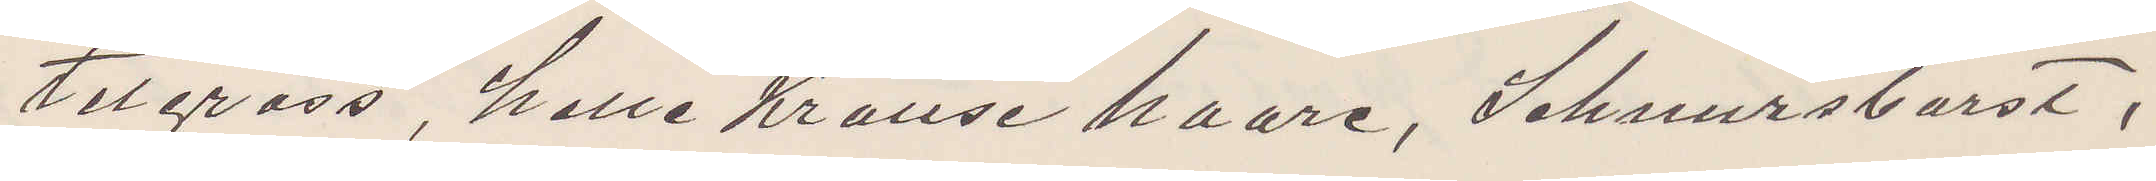telgrass, helle Krause haare, Schnursburst,
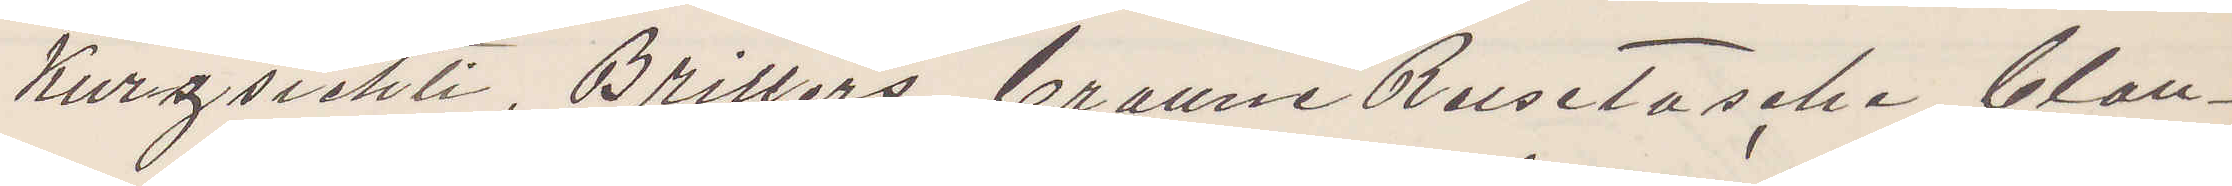Kurzsichti, Brillers, braune Reisetasche, blau¬
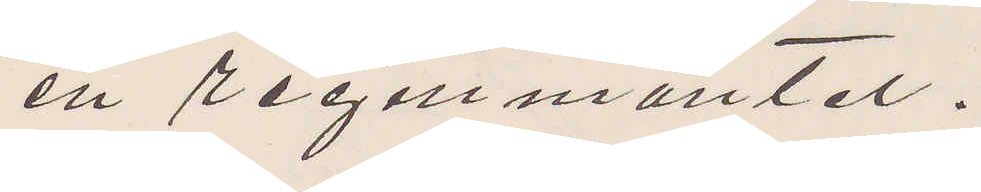en regenmantel.
